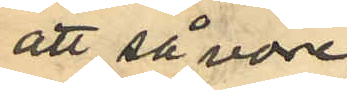att så vore
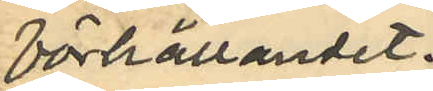förhållandet.
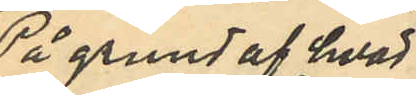På grund af hvad
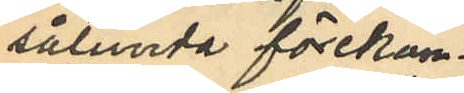sålunda förekom¬
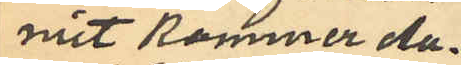mit kommer Au¬
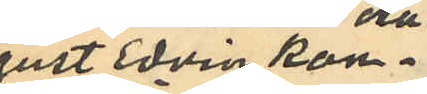gust Edvin Kon¬
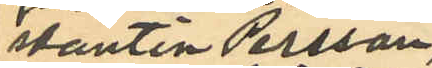stantin Persson,
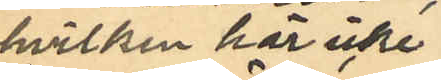hvilken här icke
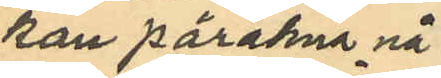kan påräkna nå¬
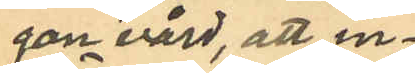gon vård, att in¬
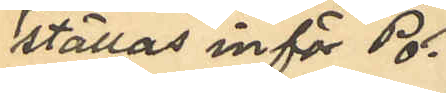ställas inför Po¬
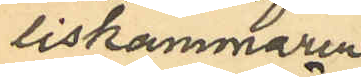liskammaren
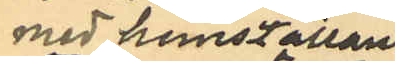med hemställan
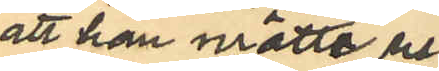att han måtte re¬
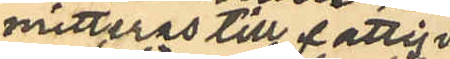mitteras till fattig¬
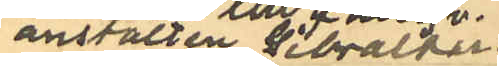anstalten Gibraltar.
